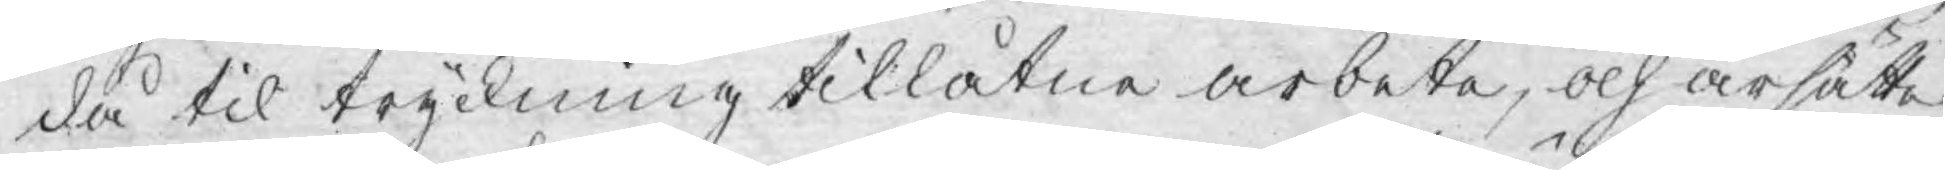då til tryckning tillåtne arbete, och ärsätte
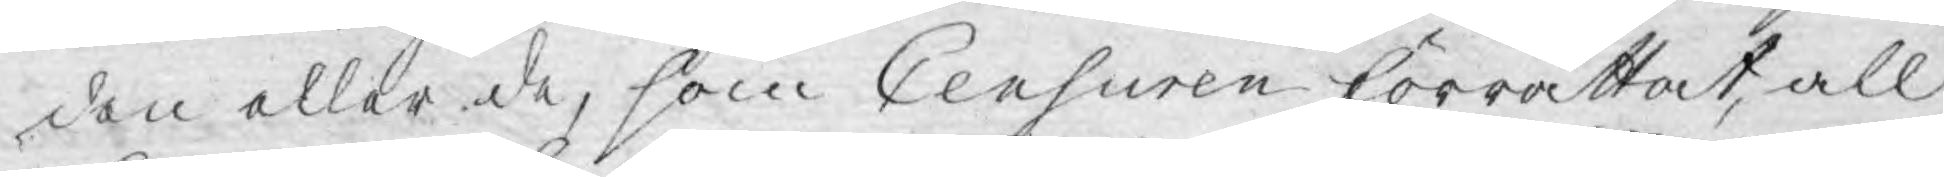den eller de, som Censuren förrättat, all
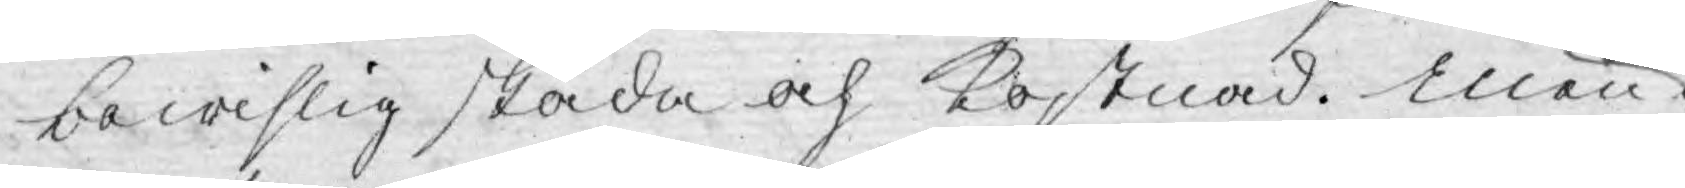bewislig skada och kostnad. Men
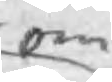om
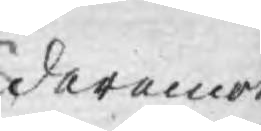deremot
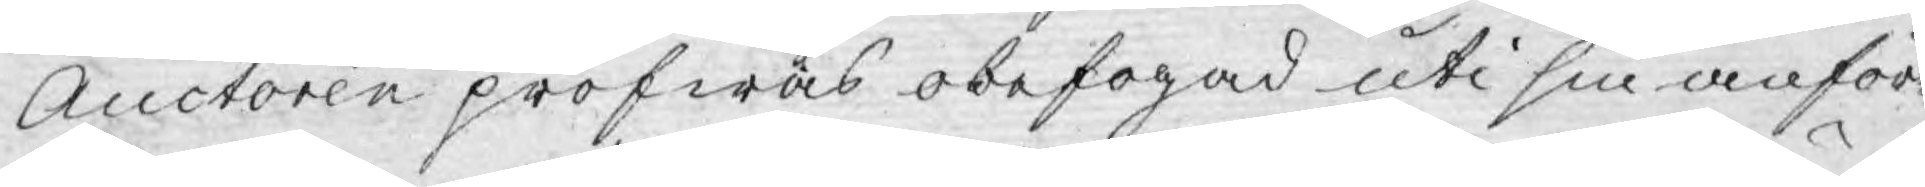Auctoren pröfwas obefogad uti sin anför¬
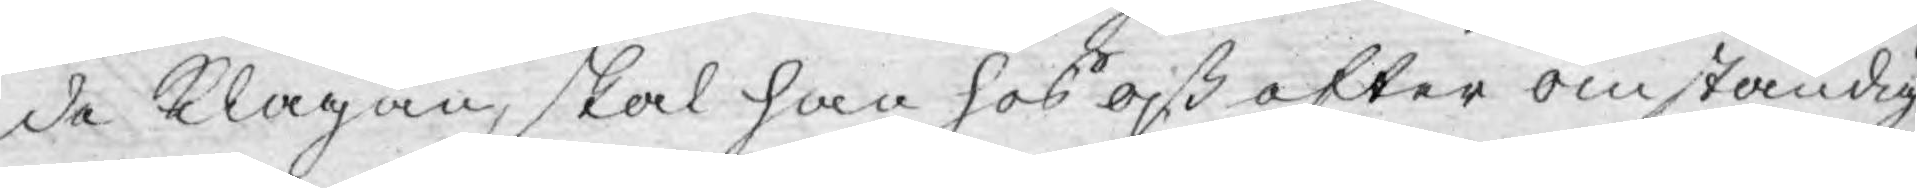de klagan, skal han hos oß ofter omständig¬
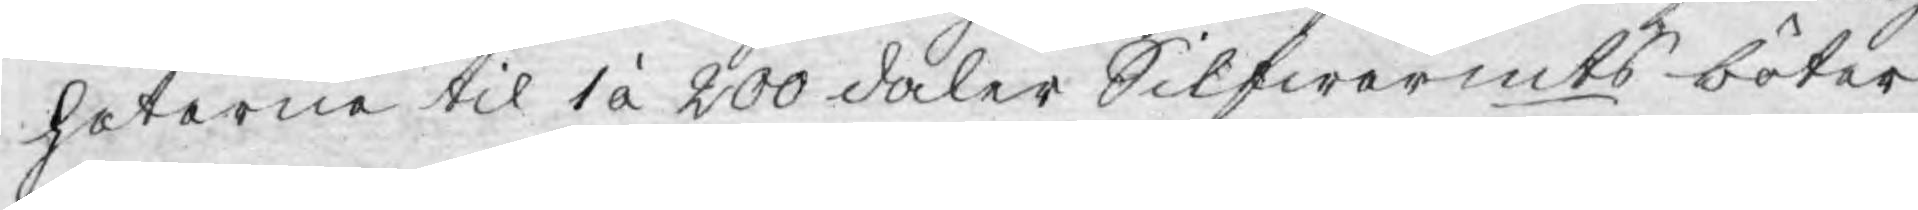heterne til 1 á 200 daler Silfwermts böter
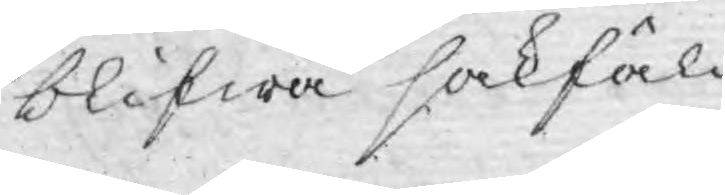blifwa sakfäld.
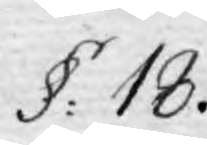§: 18.
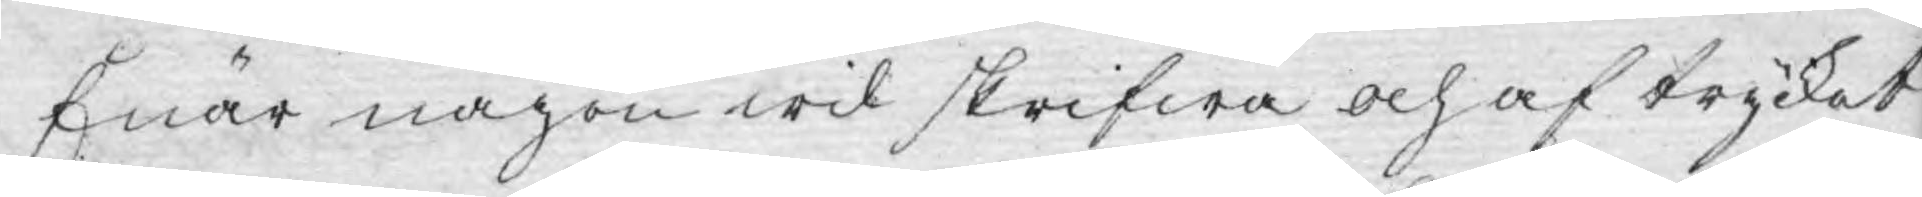Enär någon wil skrifwa och af trycket,
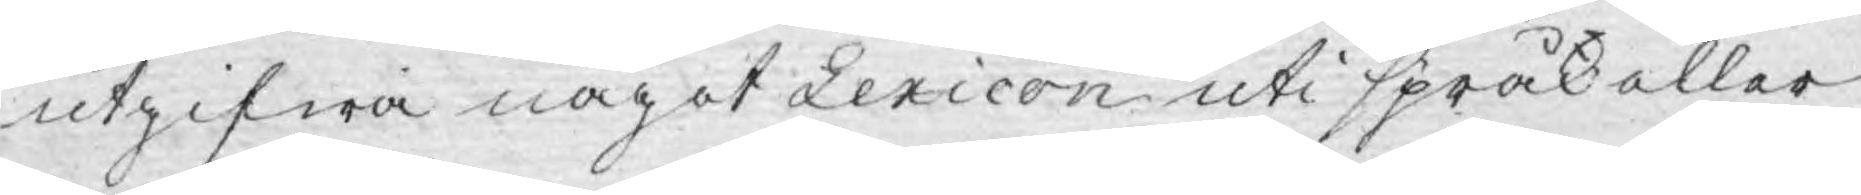utgifwa något Lexicon uti språk eller
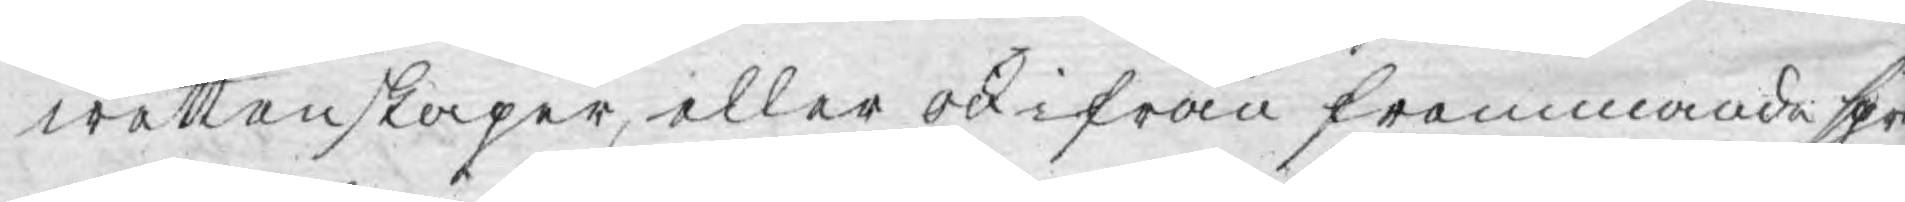wettenskaper, eller ock ifrån främmande språ
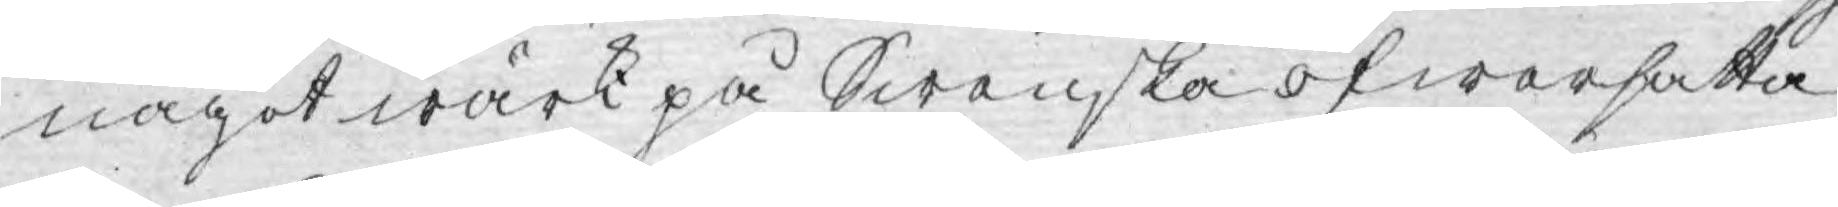något wärk på Swenska öfwersatta,
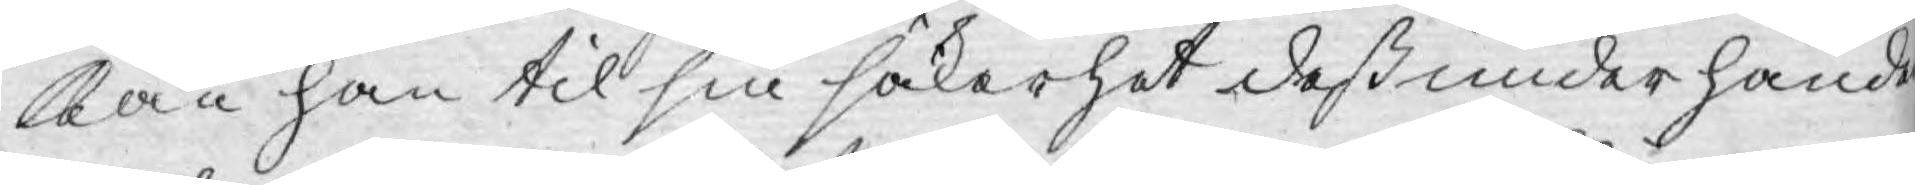kan han til sin säkerhet deß under hände
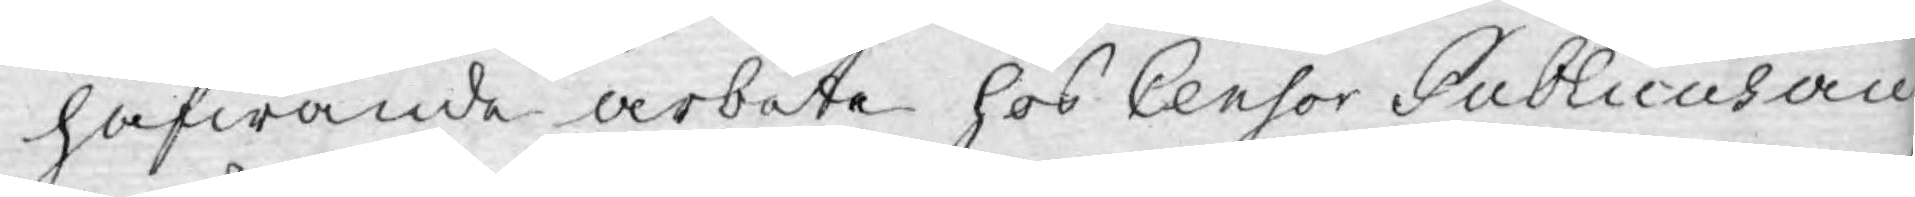hafwande arbete hos Censor Publicus an¬
